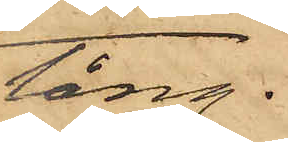tång.
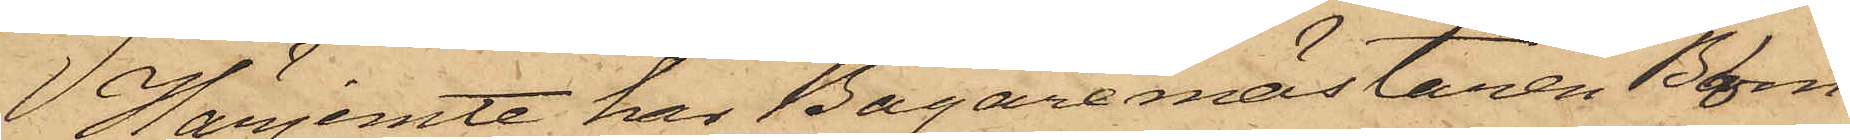Härjemte har Bagaremästaren Blom
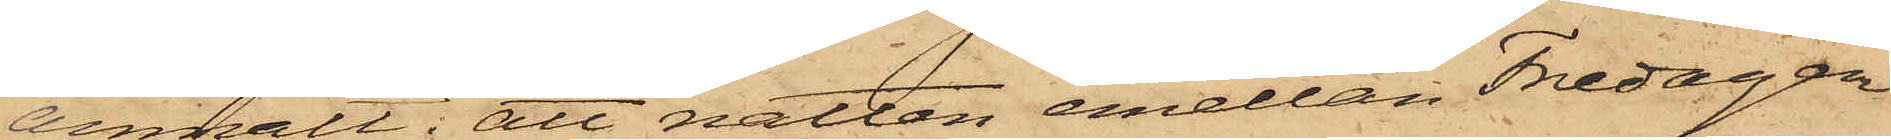anmält: att natten emellan Fredagen
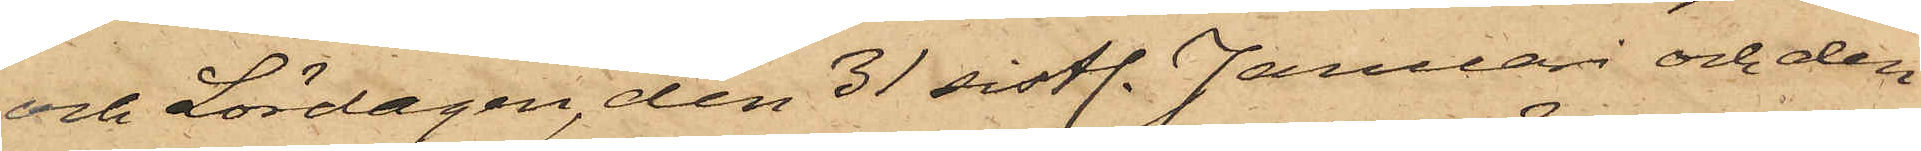och Lördagen, den 31 sistl. Januari och den
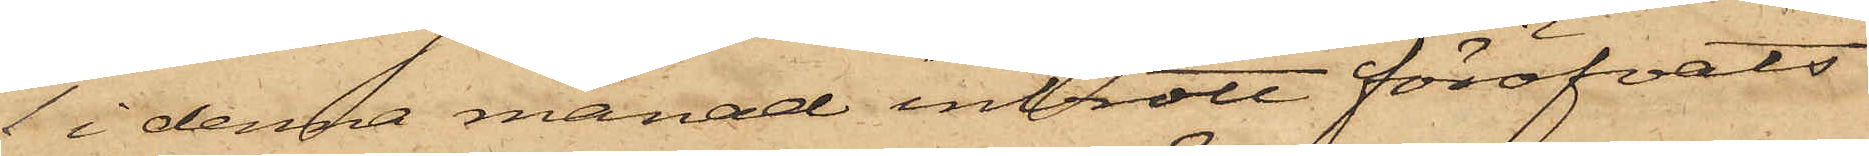1 i denna månad inbrott föröfvats
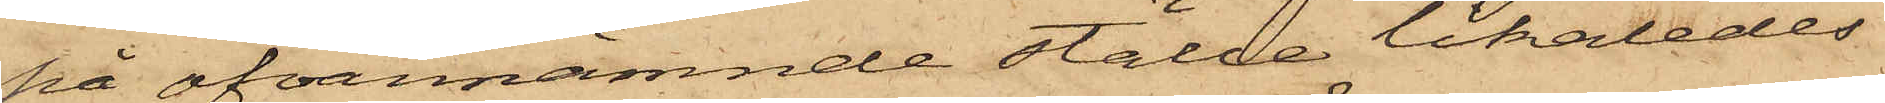på ofvannämnde ställe likaledes
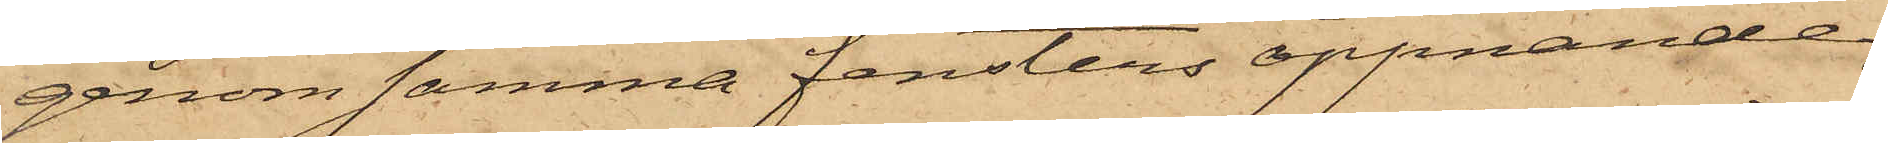genom samma fensters öppnande,
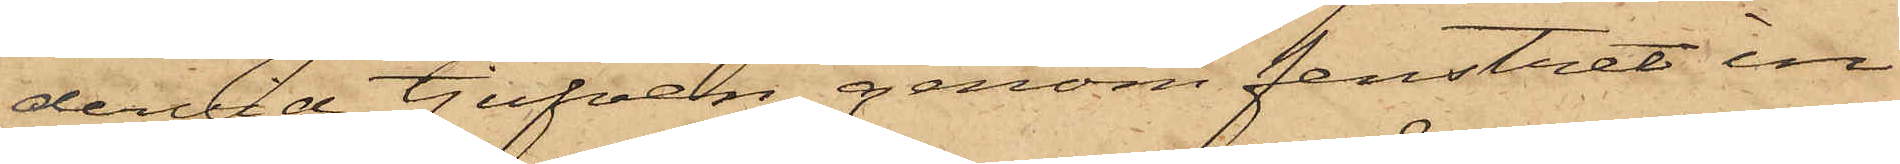dervid tjufven, genom fenstret in¬
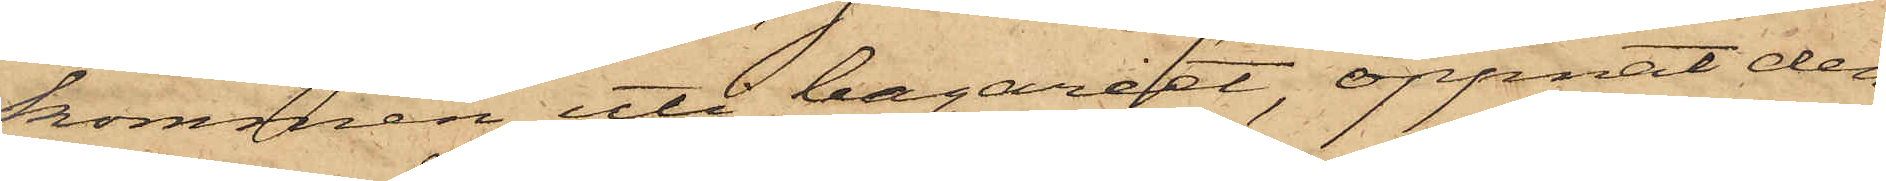kommen uti bageriet, öppnat den
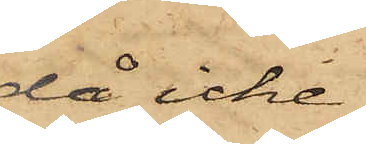då icke
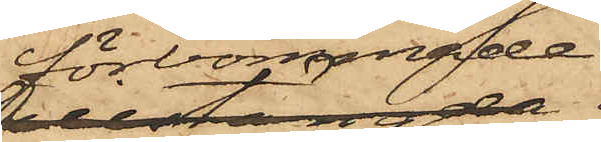förbommade
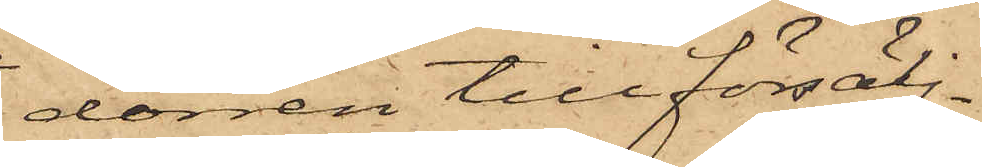dörren till försälj¬
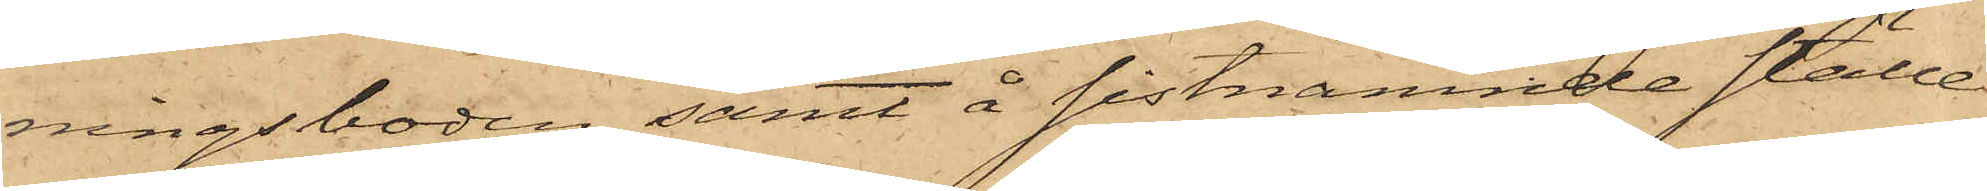ningsboden samt å sistnämnde ställe
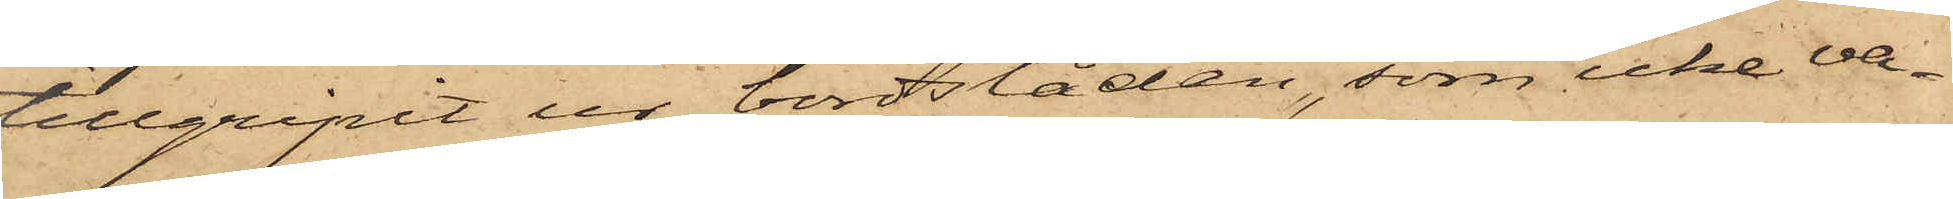tillgripit ur bordslåden, som icke va¬
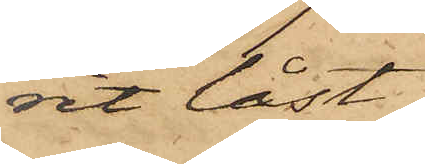vit låst,
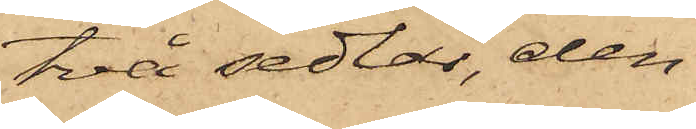två sedlar, den
